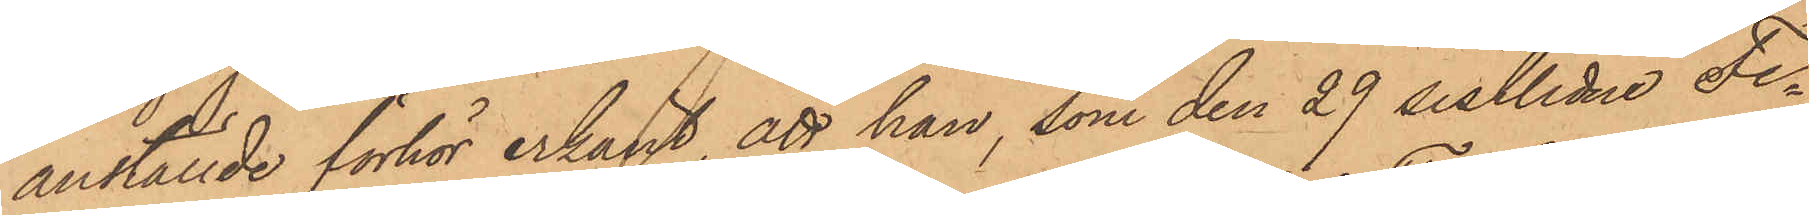anställde förhör erkänt, att han, som den 29 sistlidne Fe¬
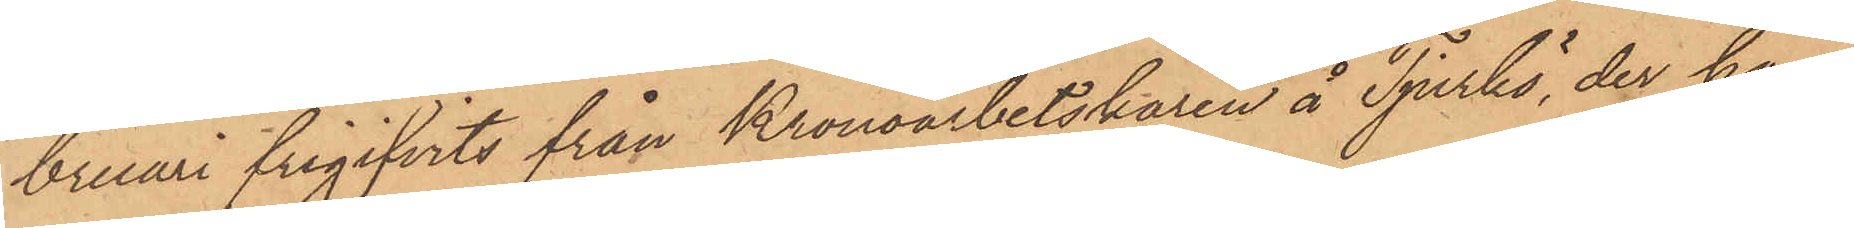bruari frigifvits från Kronoarbetskåren å Tjurkö, der han
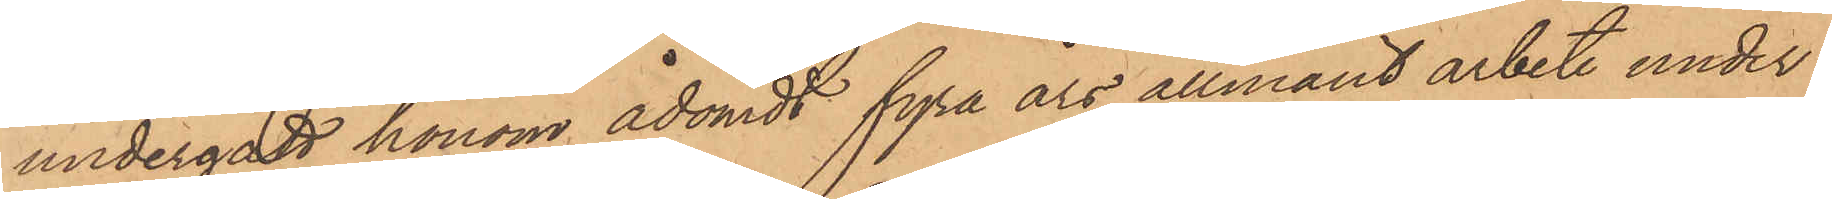undergått honom ådömdt fyra års allmänt arbete under
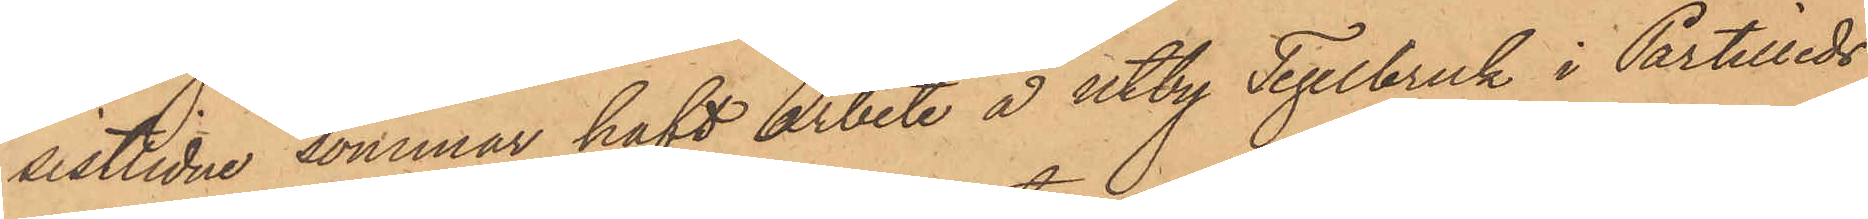sistlidne sommar haft arbete å Utby Tegelbruk i Partilleds
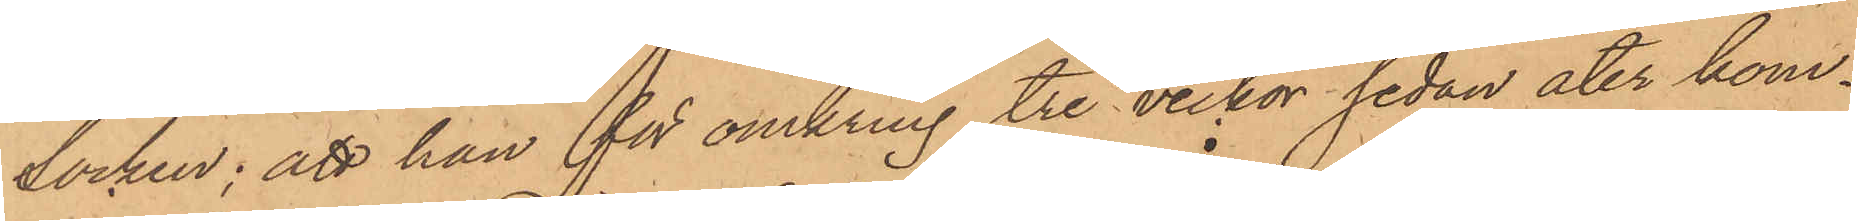Socken; att han för omkring tre veckor sedan åter kom¬
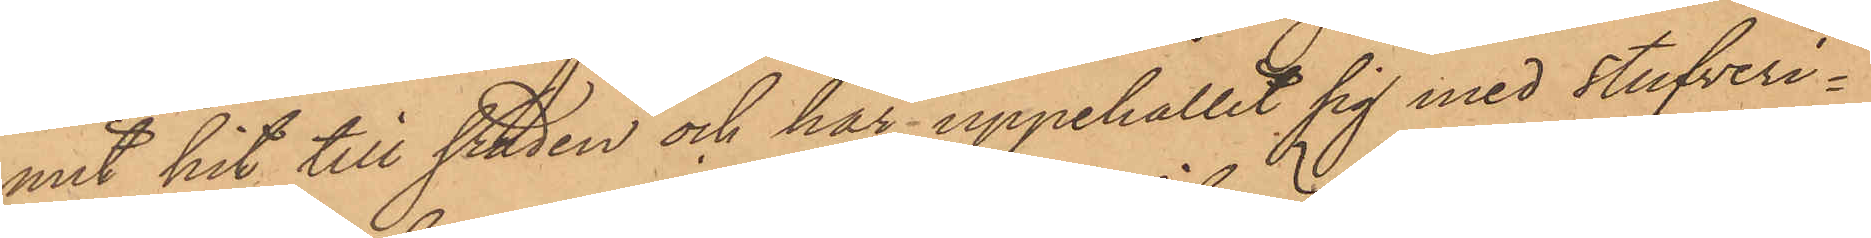mit hit till staden och här uppehållit sig med stufveri¬
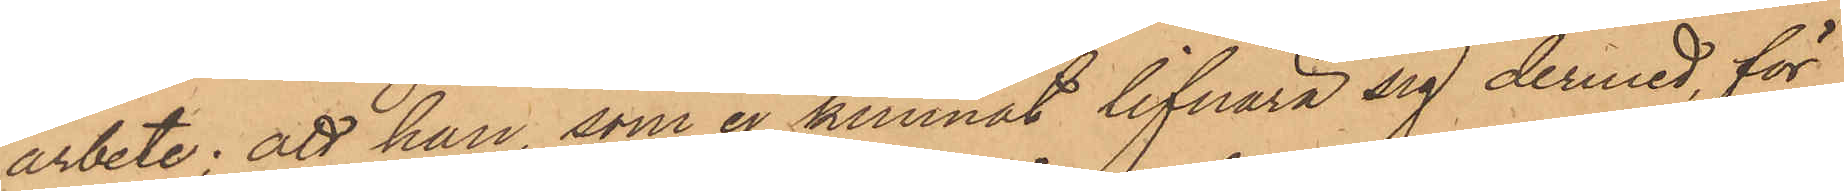arbete; att han, som ej kunnat lifnära sig dermed, för
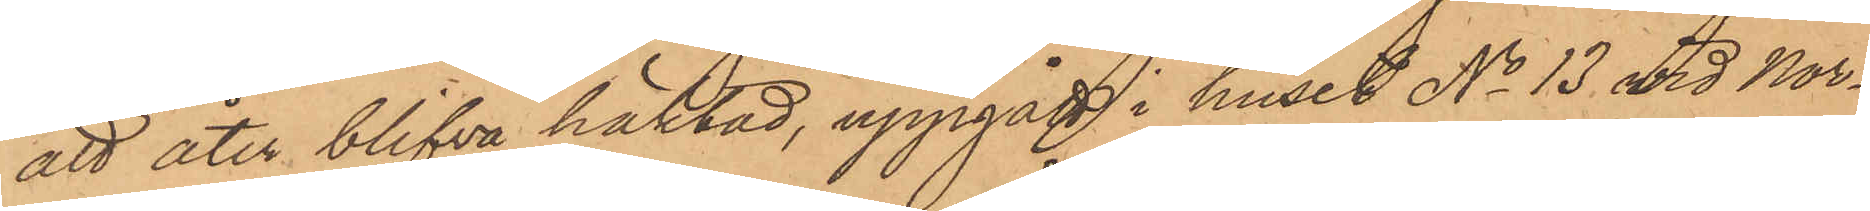att åter blifva häktad, uppgått i huset No 13 vid Nor¬
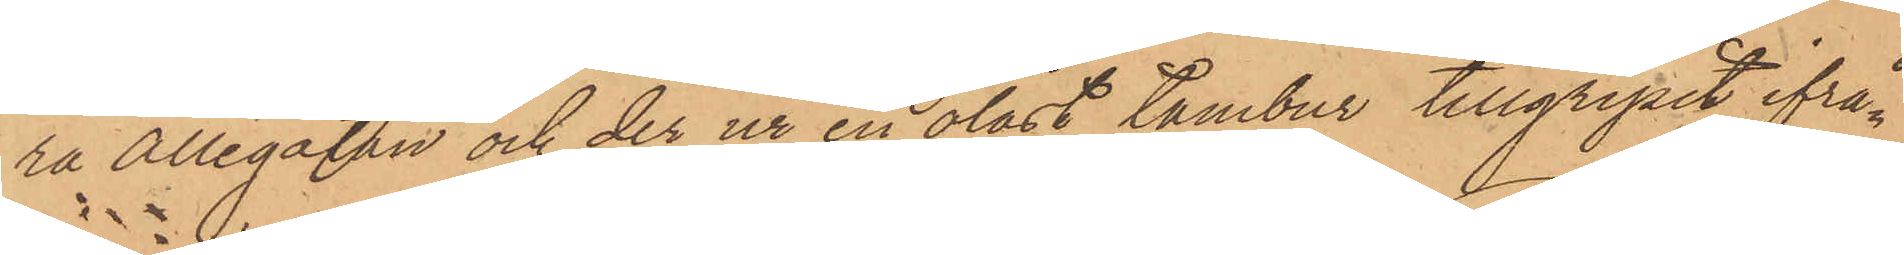ra Allégatan och der ur en olåst tambur tillgripit ifrå¬
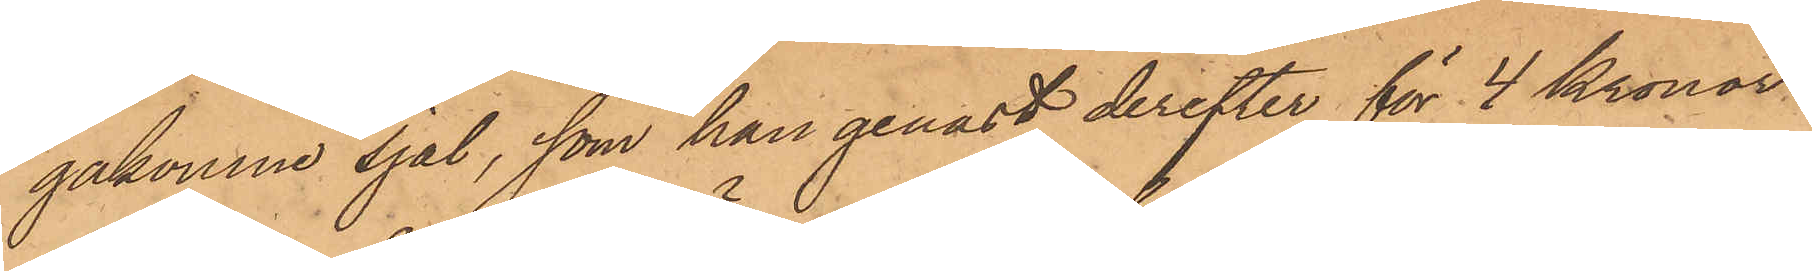gakomne sjal, som han genast derefter för 4 Kronor
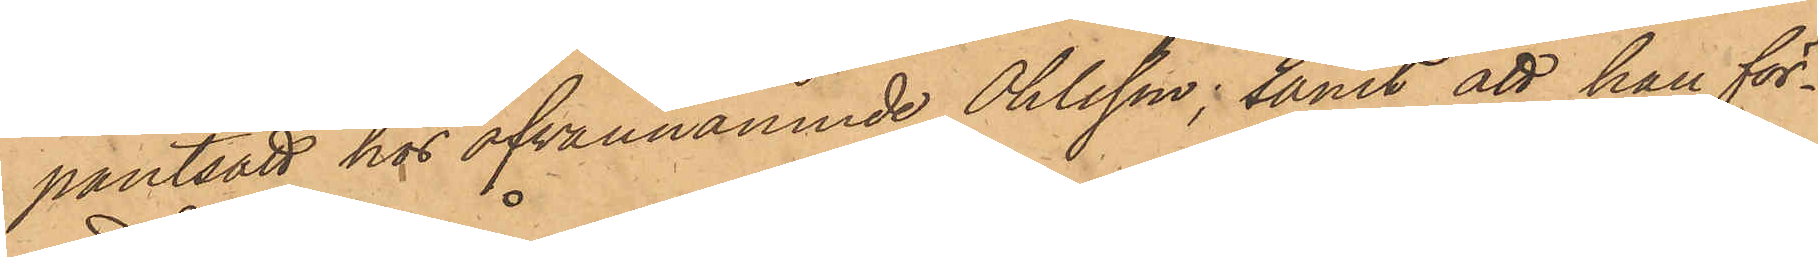pantsatt hos ofvannämnde Ohlsson; samt att han för¬
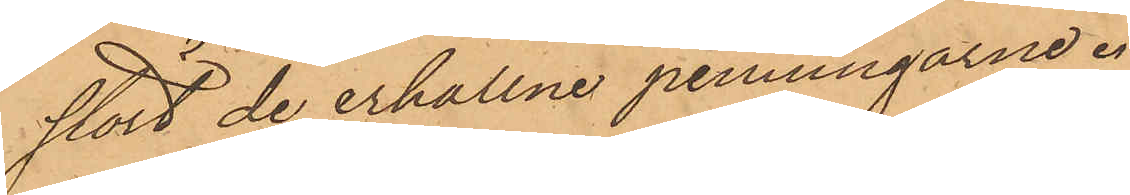stört de erhållne penningarne.
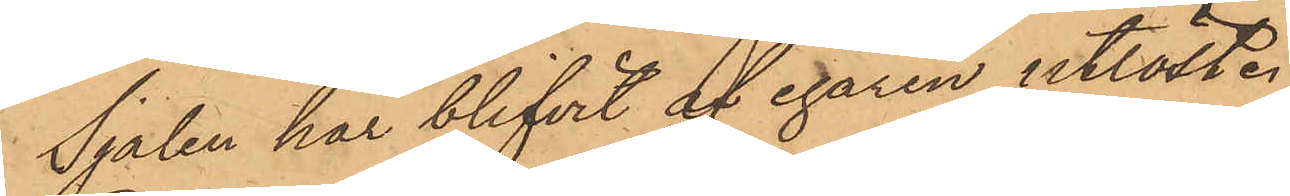Sjalen har blifvit af egaren utlöst.
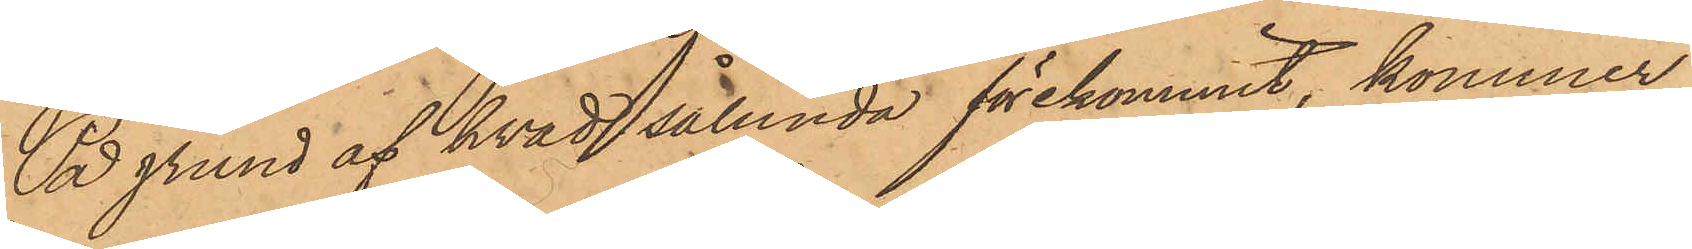På grund af hvad sålunda förekommit, kommer
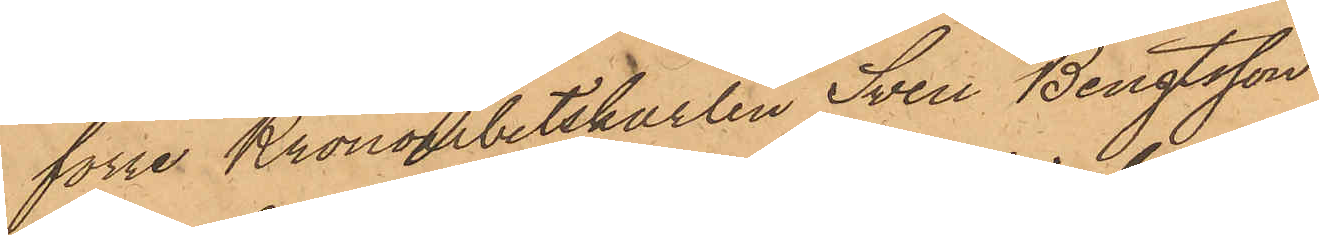förre Kronoarbetskarlen Sven Bengtsson
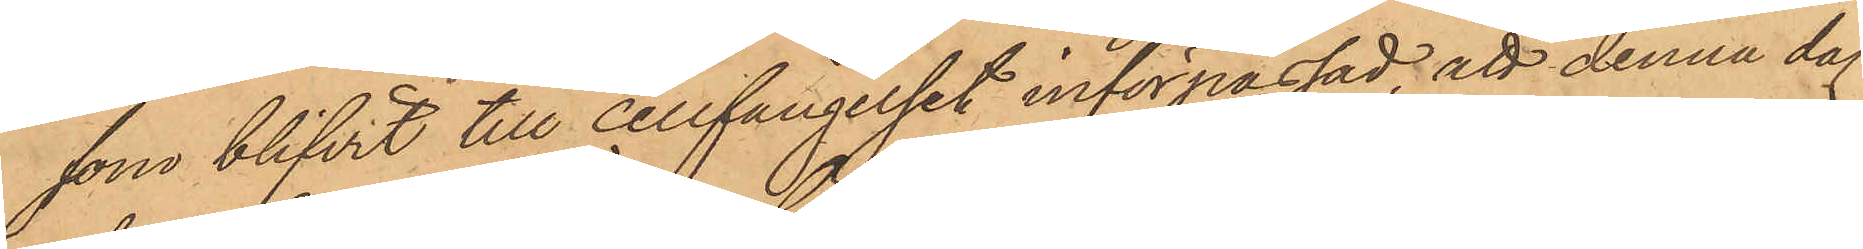som blifvit till cellfängelset införpassad, att denna dag
